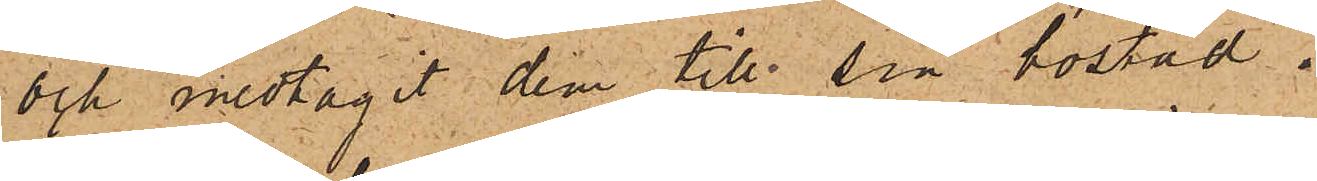och medtagit dem till sin bostad.
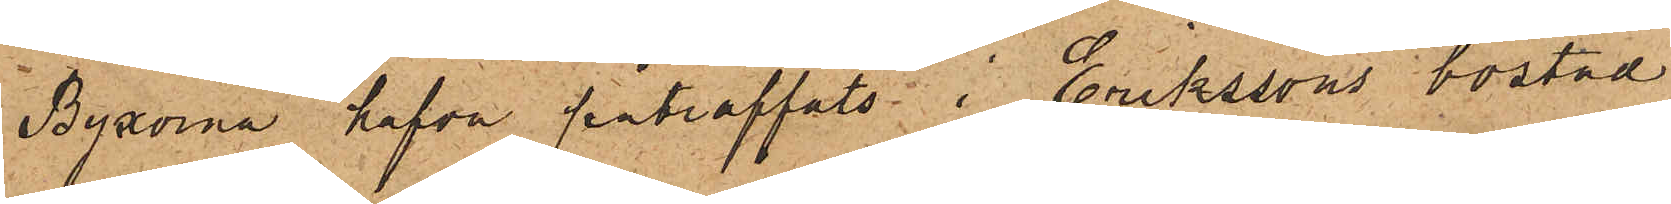Byxorna hafva påträffats i Erikssons bostad
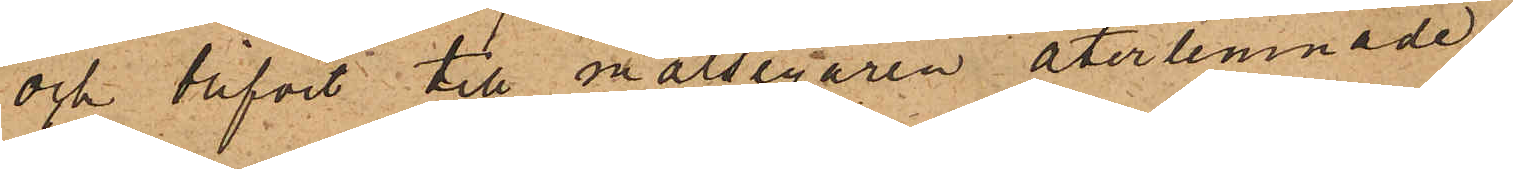och blifvit till målsegaren återlemnade.
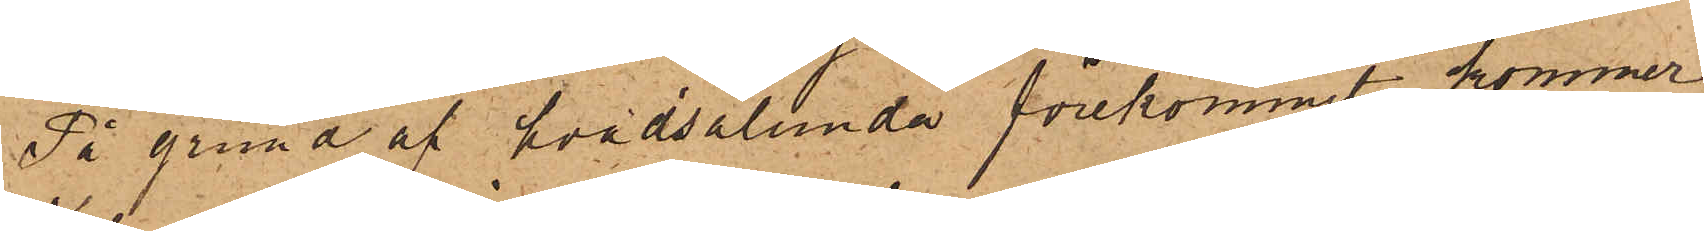På grund af hvad sålunda förekommit, kommer
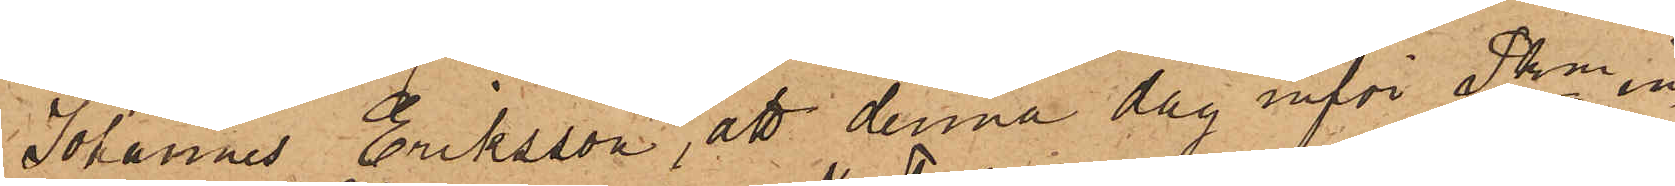Johannes Eriksson, att denna dag inför Pken in¬
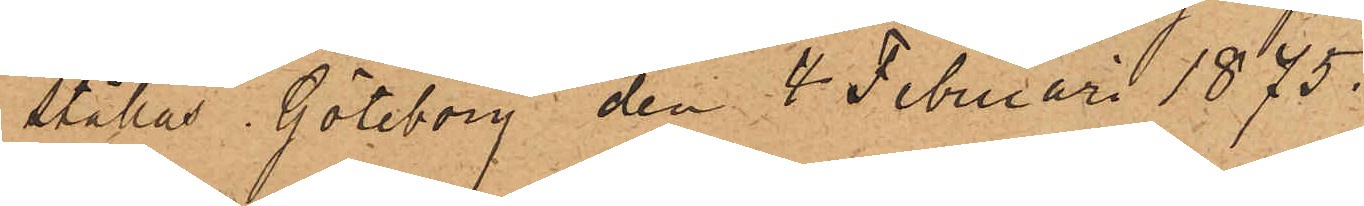ställas. Göteborg den 4 Februari 1875.
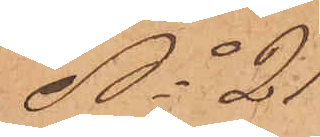No 21
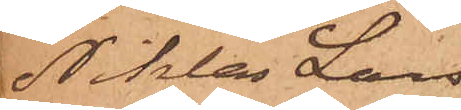Niklas Lars¬
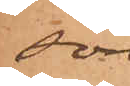son
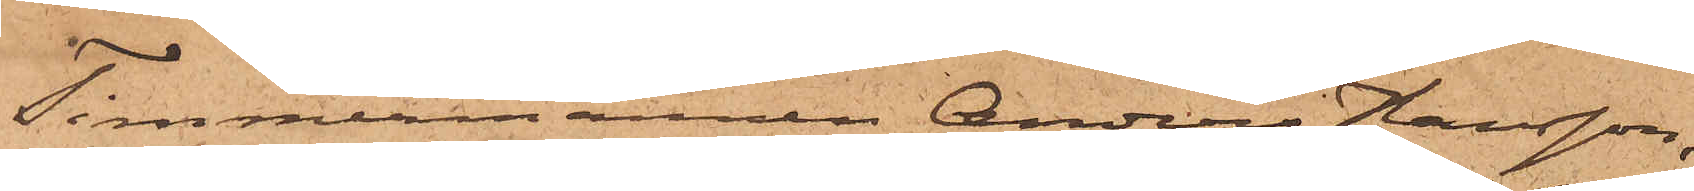Timmermannen Anders Hansson,
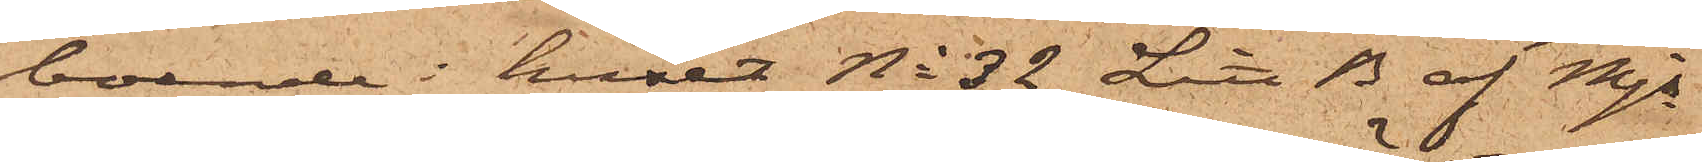boende i huset No 32 Litt B af Mjs
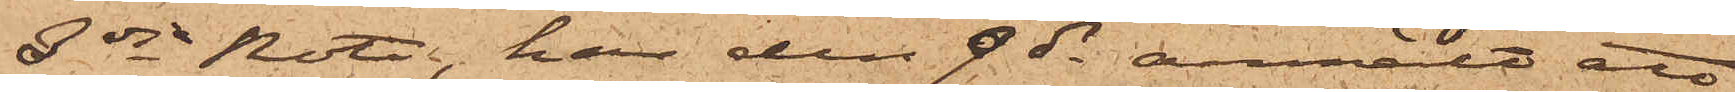3dje Rote, har den 9 ds anmält att
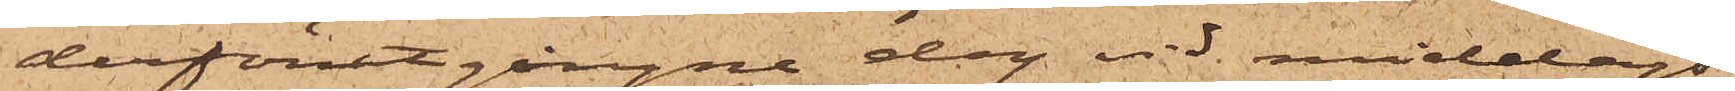derförutgångne dag vid middags¬
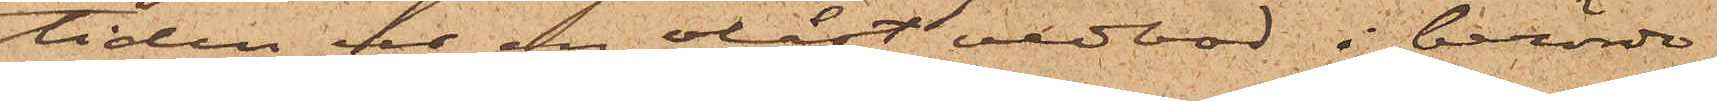tiden ur en olåst vedbod i berörde
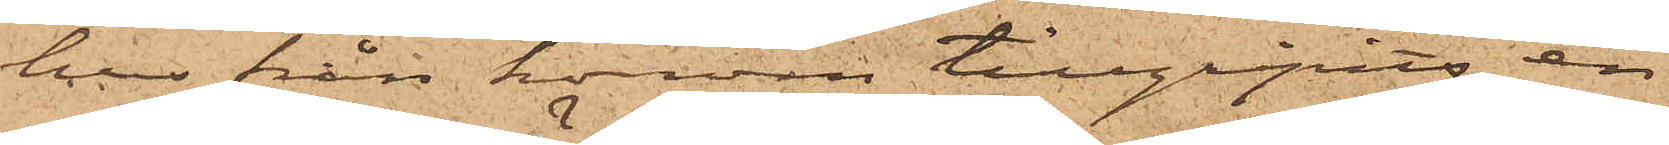hus från honom tillgripits en
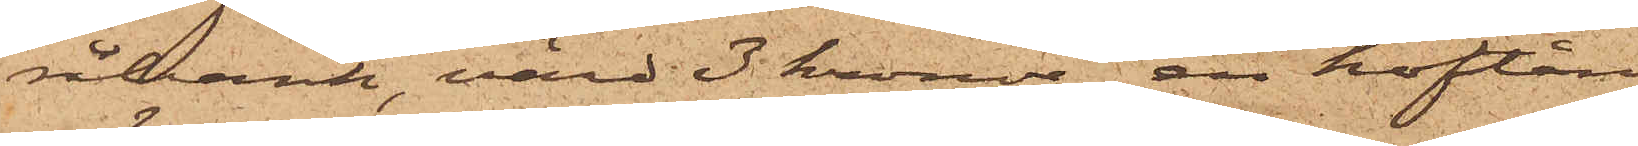råbank värd 3 kronor, en hoftång
